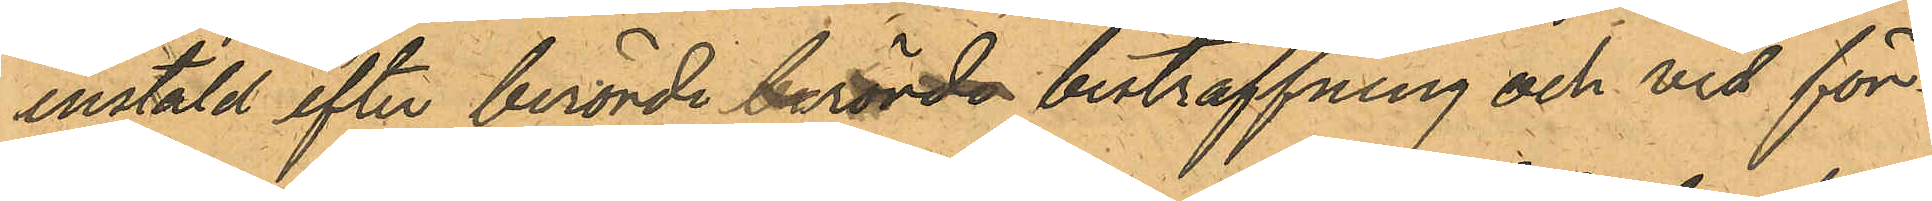instäld efter berörde berörde bestraffning och vid för¬
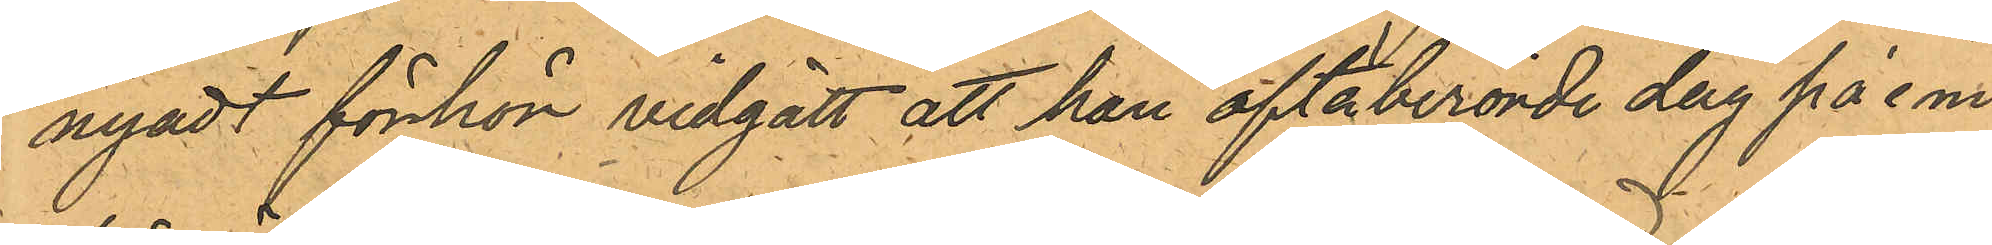nyadt förhör vidgått att han oftaberörde dag på e m.
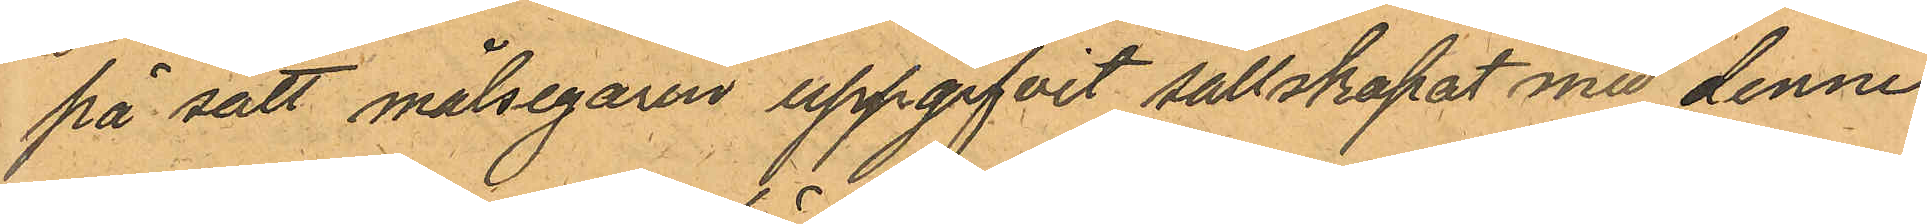på sätt målsegaren uppgifvit sällskapat mu denne;
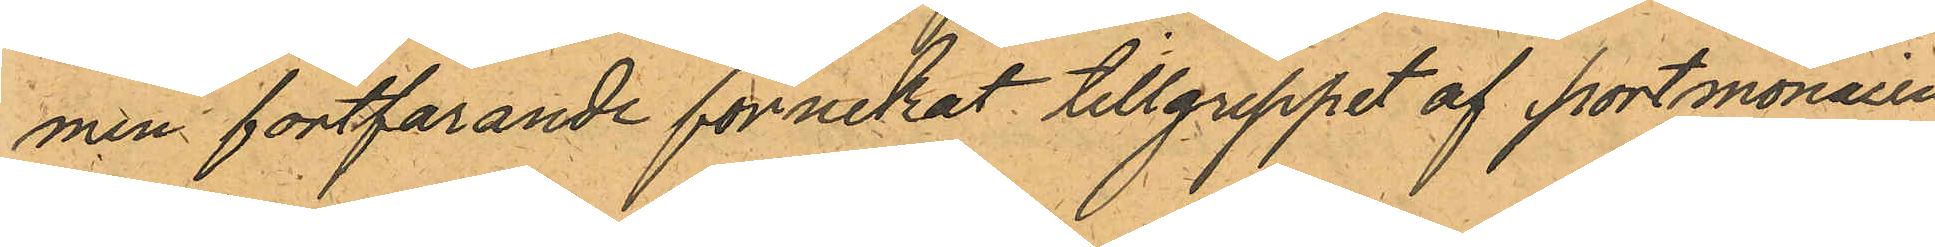men fortfarande förnekat tillgreppet af portmonaien
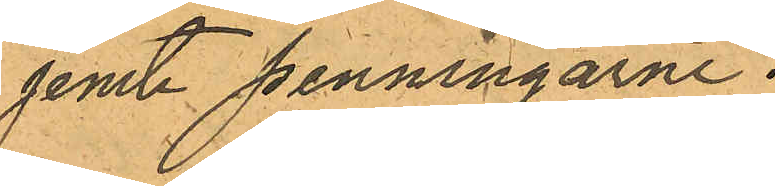jemte penningarne.
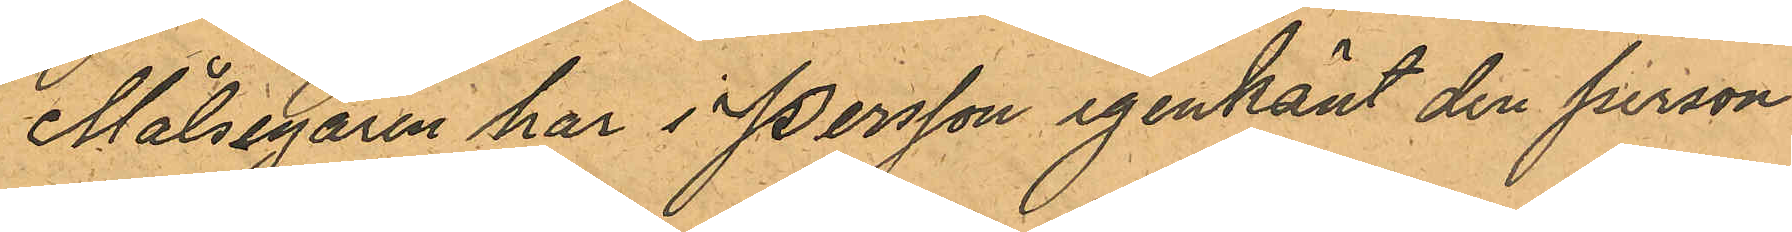Målsegaren har i Persson igenkänt den person
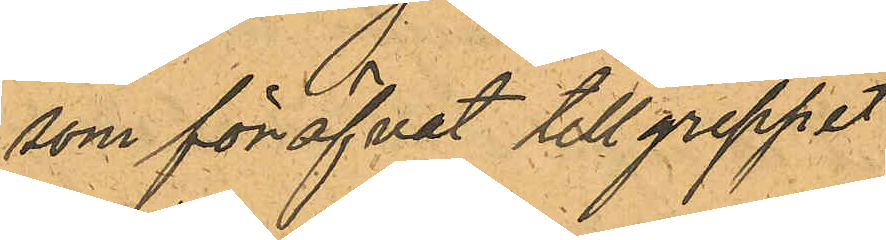som föröfvat tillgreppet
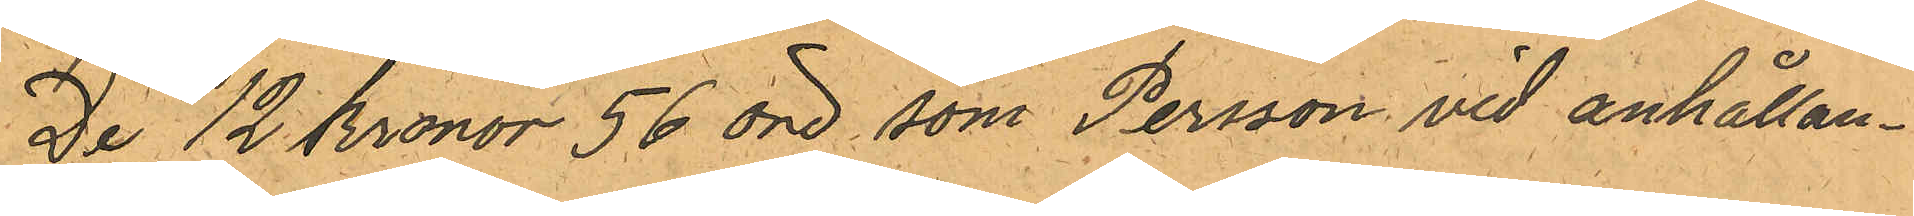De 12 Kronor 56 öre, som Persson vid anhållan¬
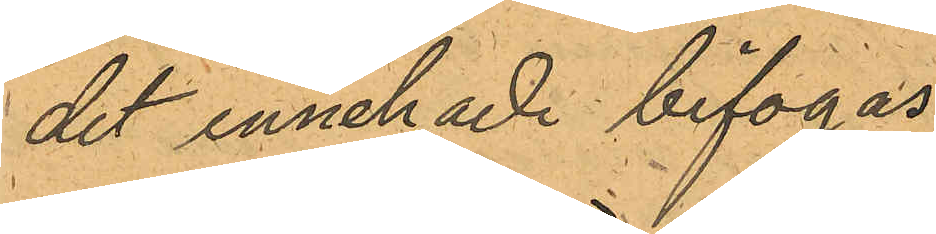det innehade bifogas.
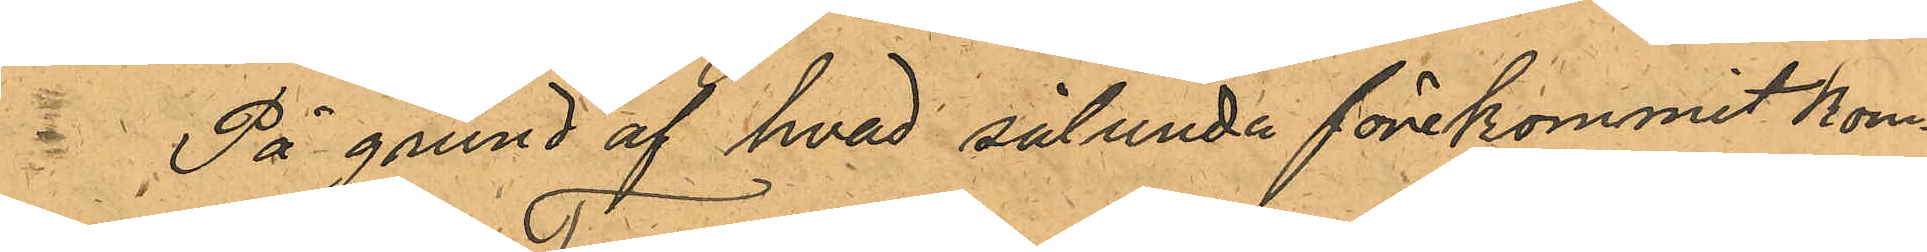På grund af hvad sålunda förekommit kom¬
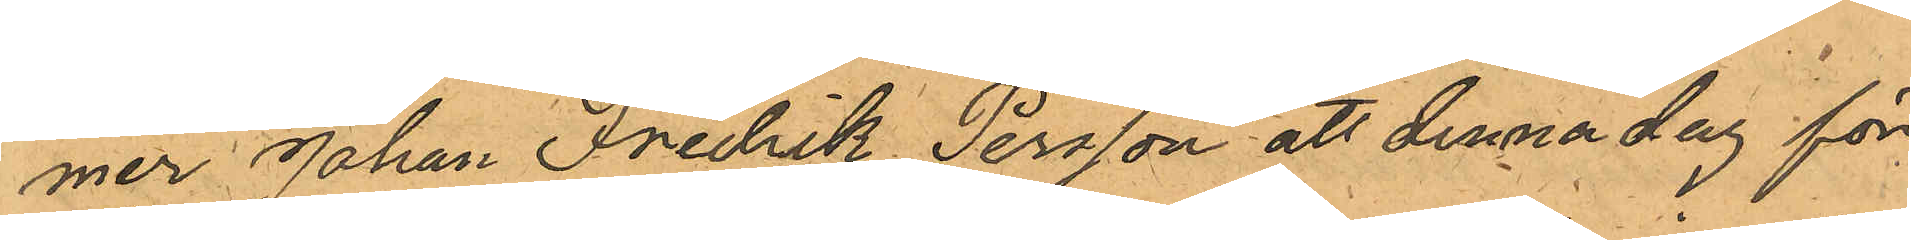mer Johan Fredrik Persson att denna dag för
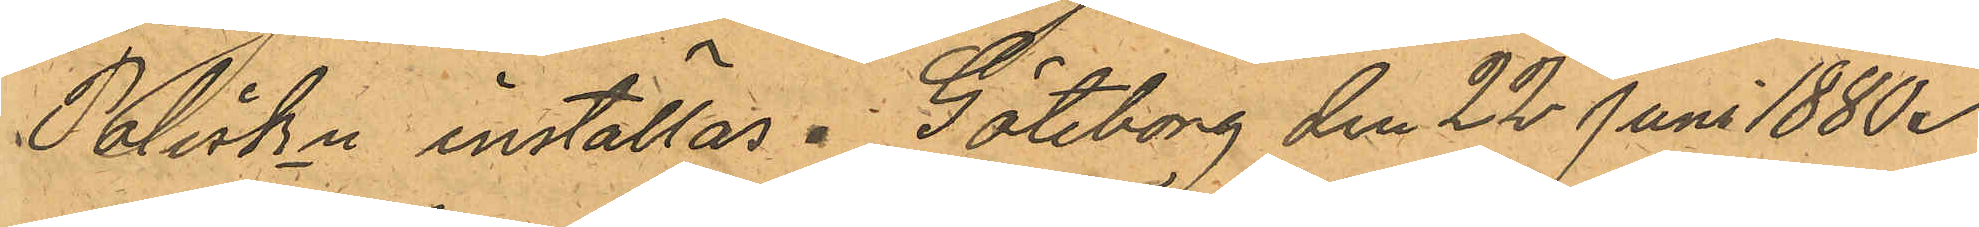Poliskn inställas. Göteborg den 22 Juni 1880.
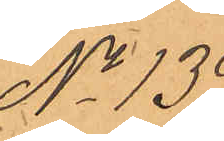No 139.
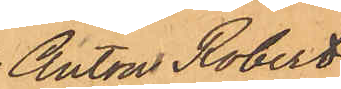Anton Robert
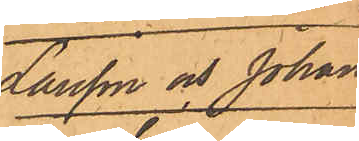Larsson och Johan
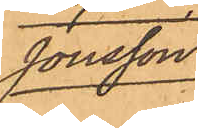Jonsson.
